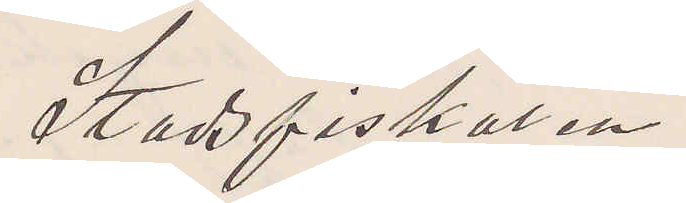Stadsfiskaren
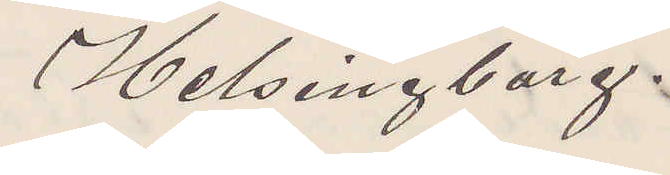Helsingborg.
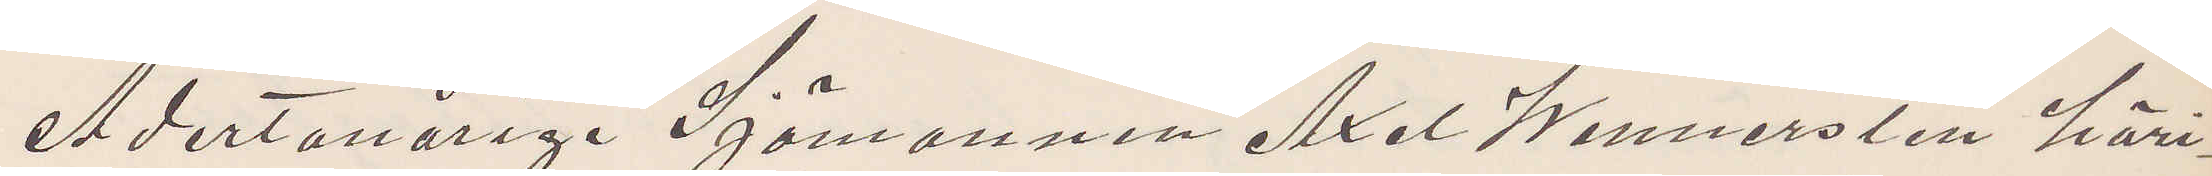Adertonårige Sjömannen Axel Wennersten häri¬
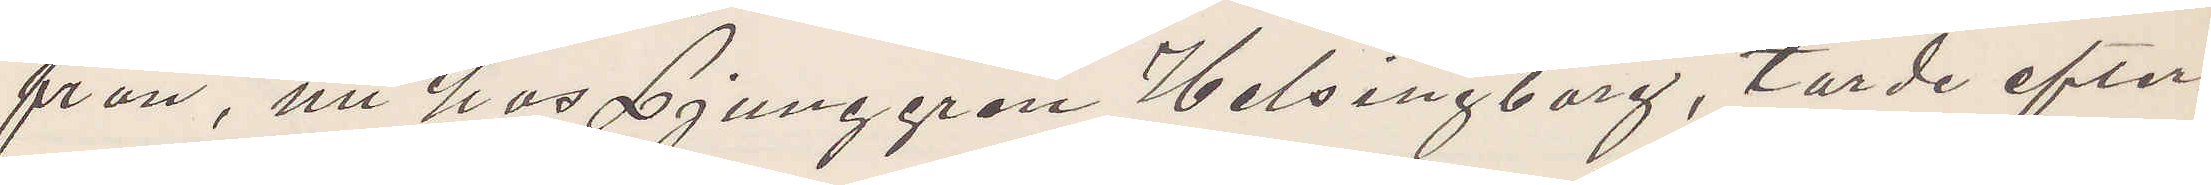från, nu hos Ljunggren Helsingborg, torde efter¬
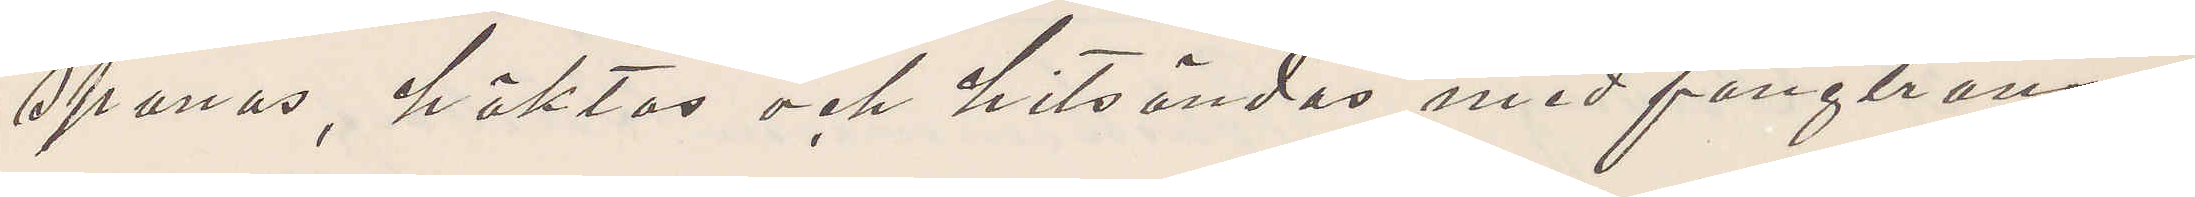spanås, häktas och hitsändas med fångtrans¬
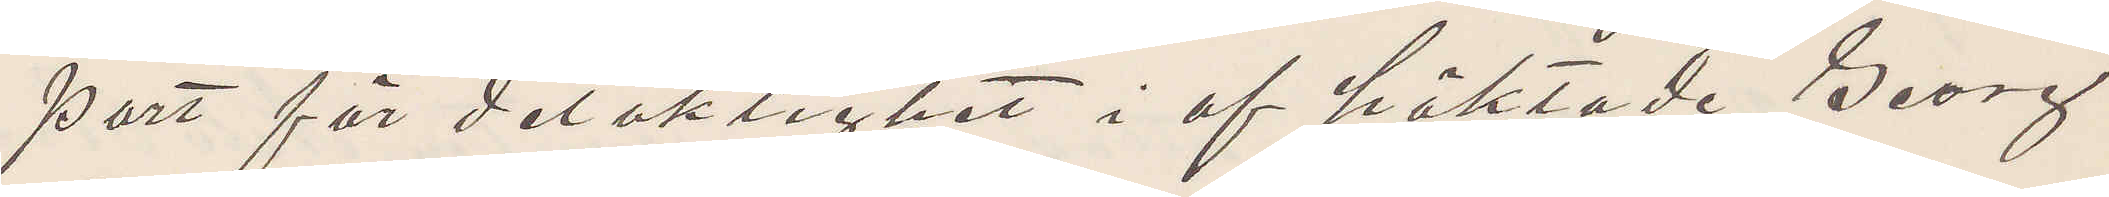port för delaktighet i af häktade Georg
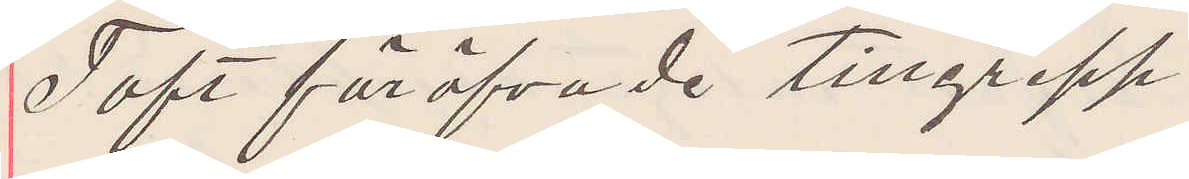Toft föröfvade tillgrepp.
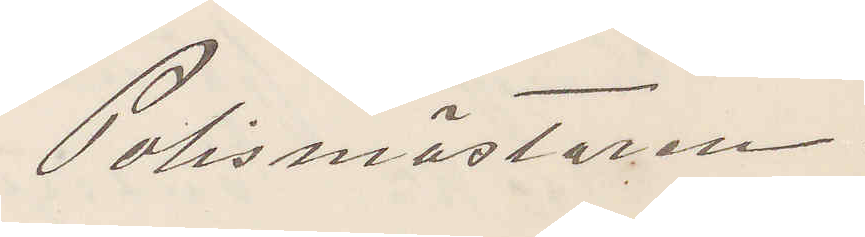Polismästaren.
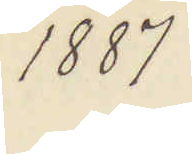1887
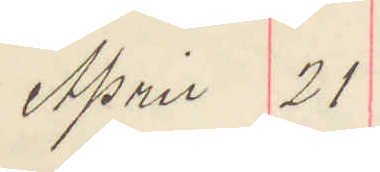April 27
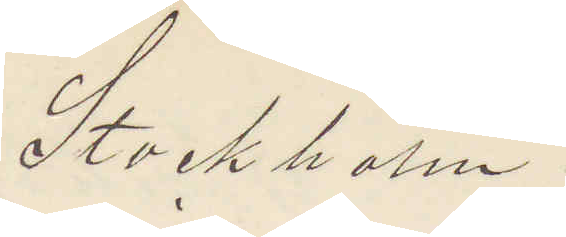Stockholm.
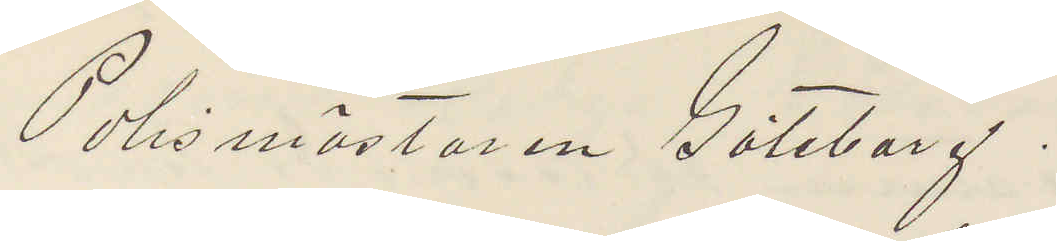Polismästaren Göteborg.
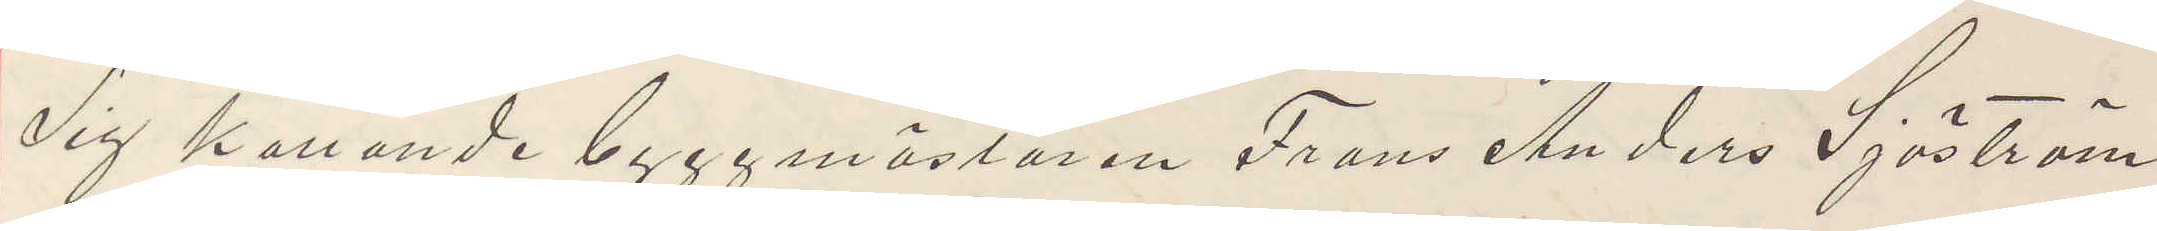Sig kallande byggmästaren Frans Anders Sjöström
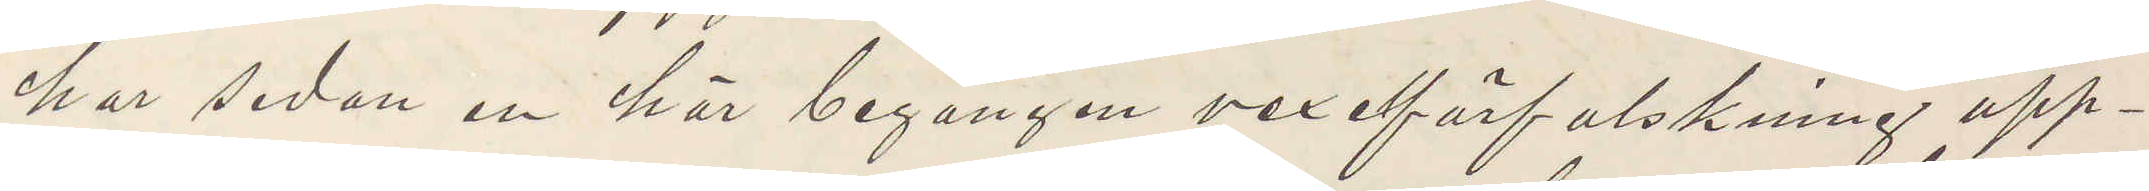har sedan en här begången vexelförfalskning upp¬
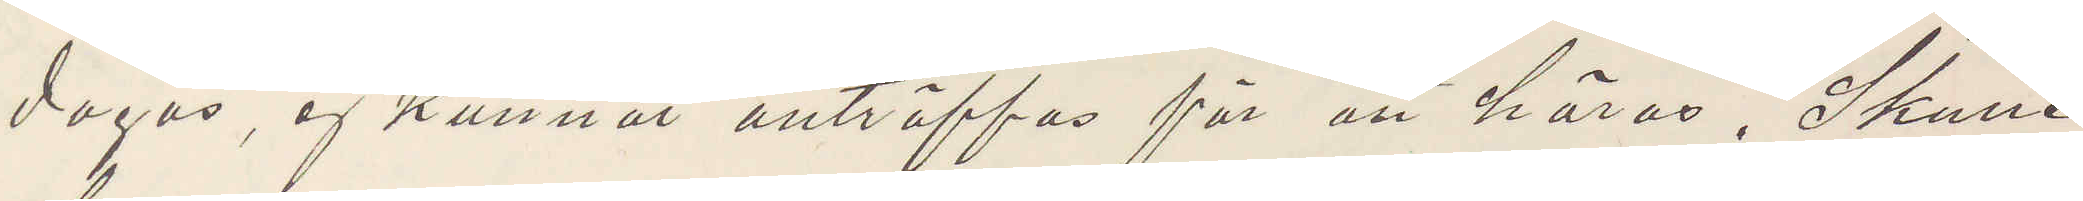dagas, ej kunnat anträffas för att höras. Skulle
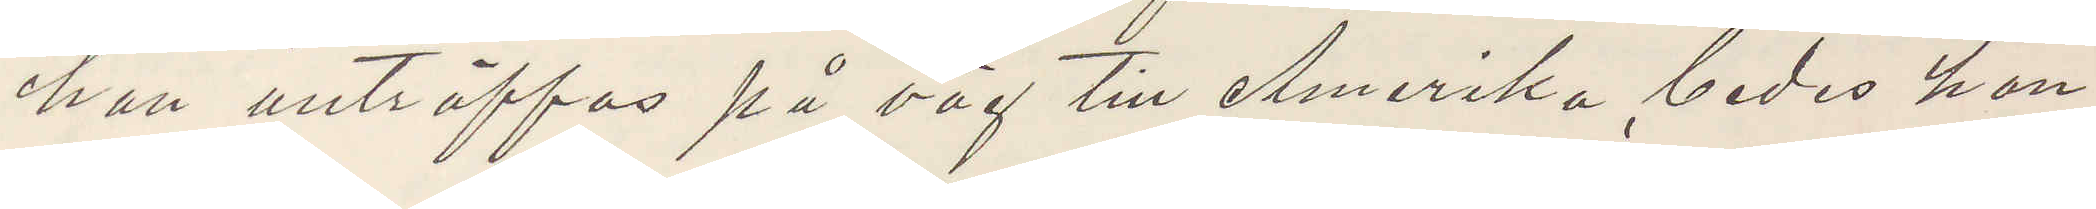han anträffas på väg till Amerika, bedes han
